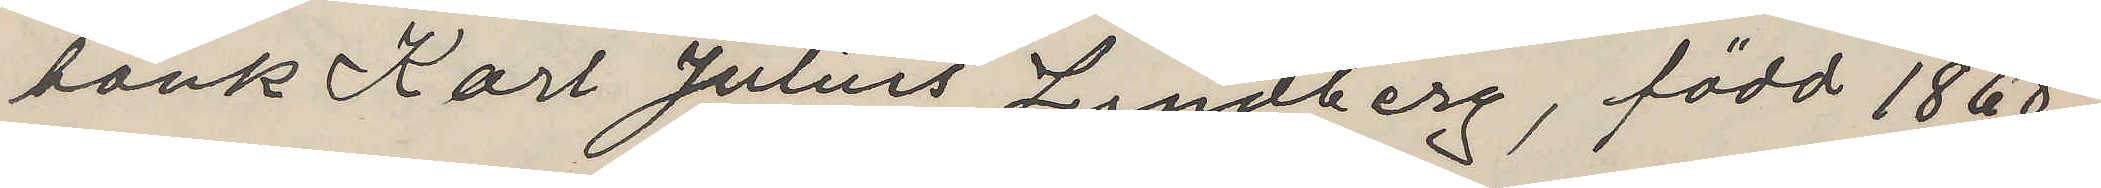bank Karl Julius Lundberg, född 1868,
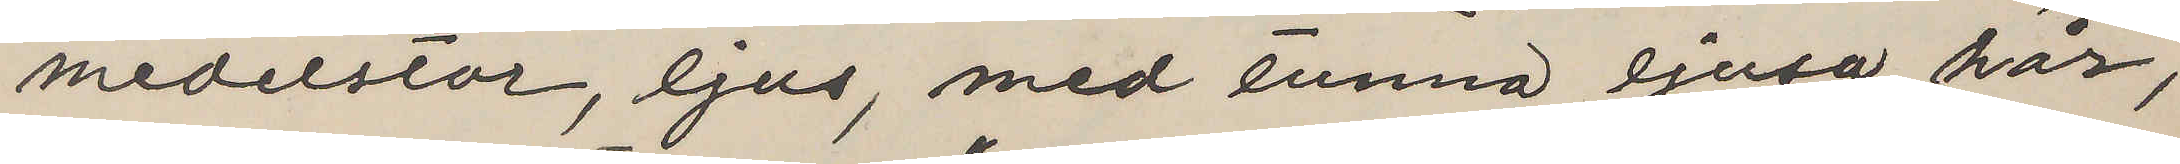medelstor, ljus, med tunna ljusa hår,
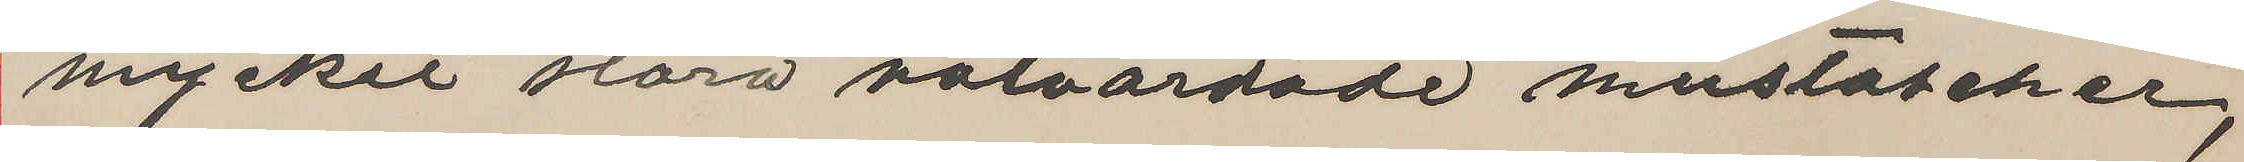mycket stora välvårdade mustascher,
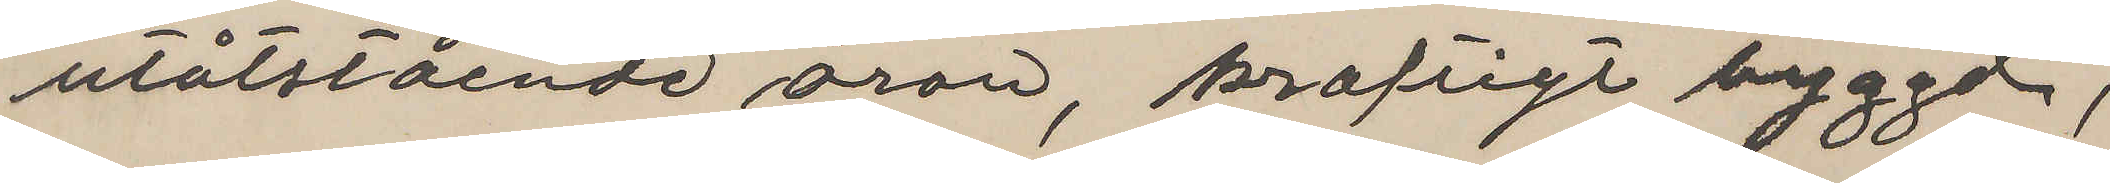utåtstående öron, kraftigt byggd,
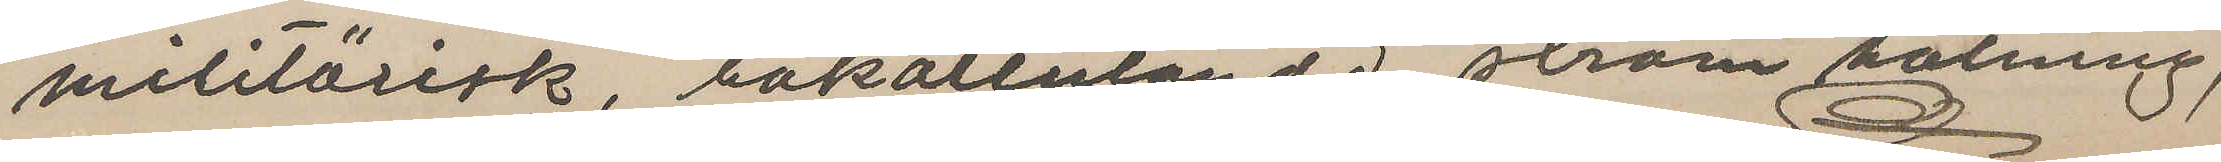militärisk, bakåtlutande, stram hålning,
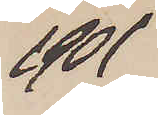1901
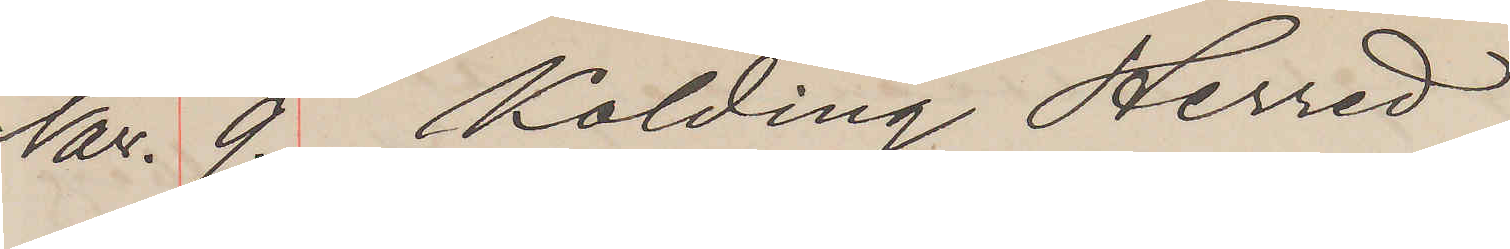Nov. 9. Kolding Herred
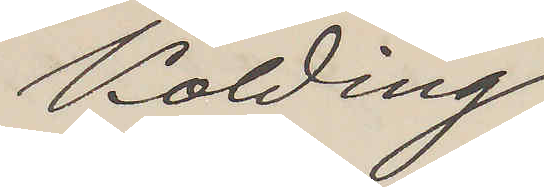Kolding
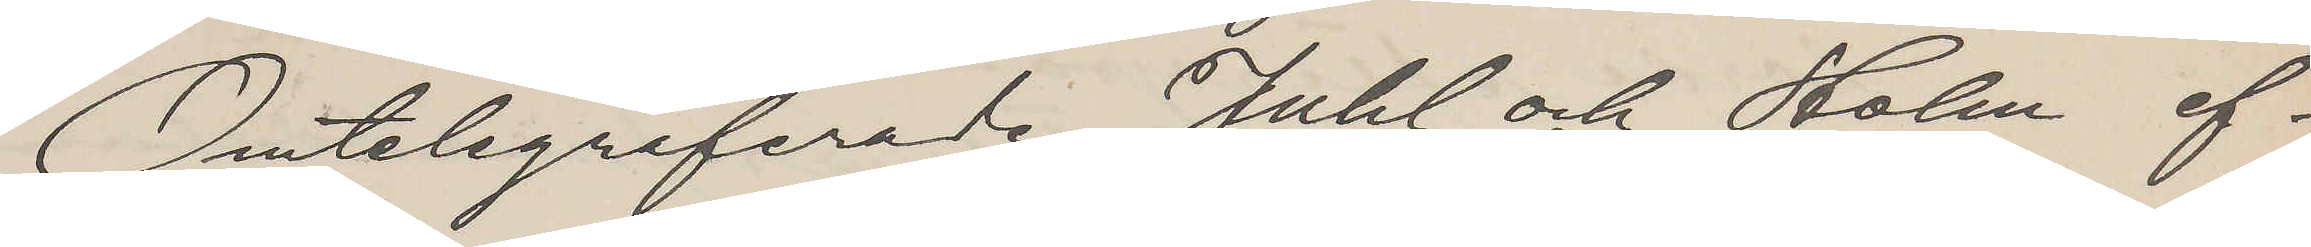Omtelegraferade Juhl och Holm ef¬
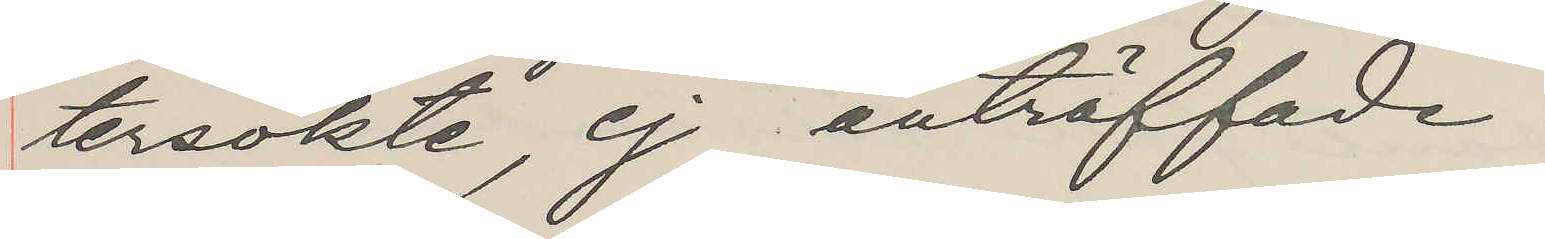tersökte, ej anträffade.
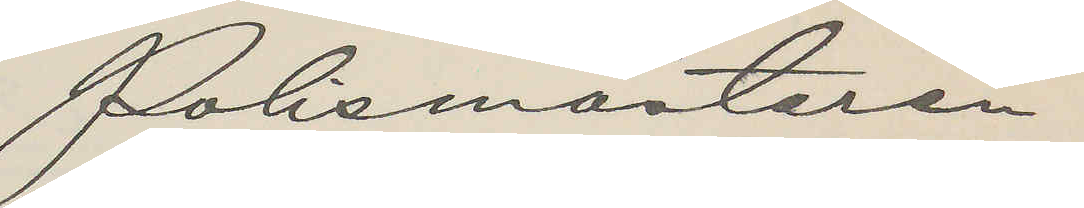Polismästaren.
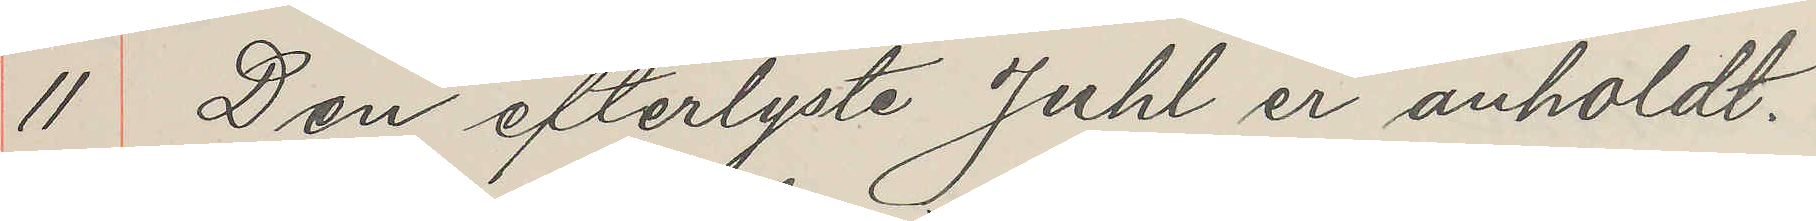11 Den efterlyste Juhl er anholdt.
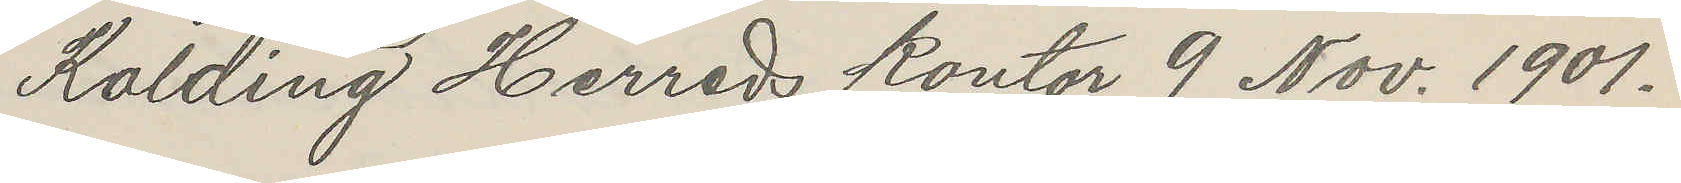Kolding Herreds kontor 9 Nov. 1901.
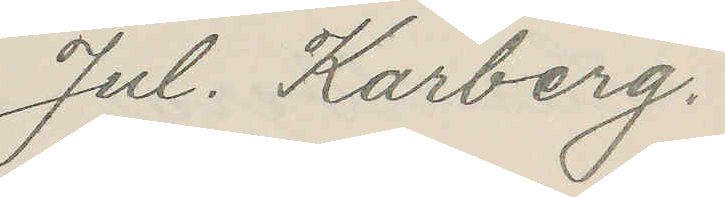Jul. Karberg.
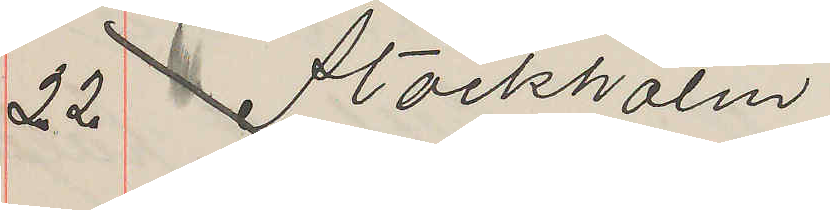22 Stockholm
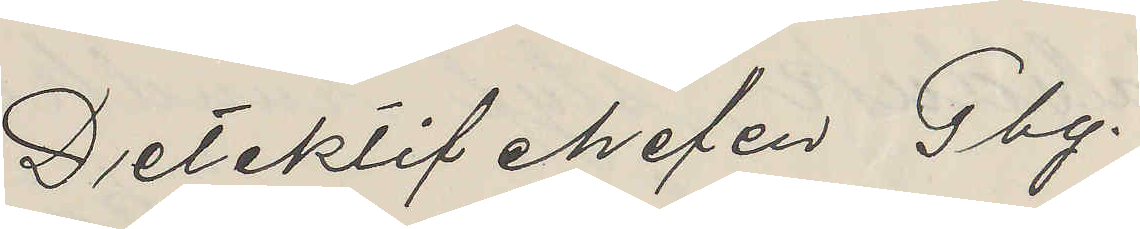Detektifchefen Gbg.
